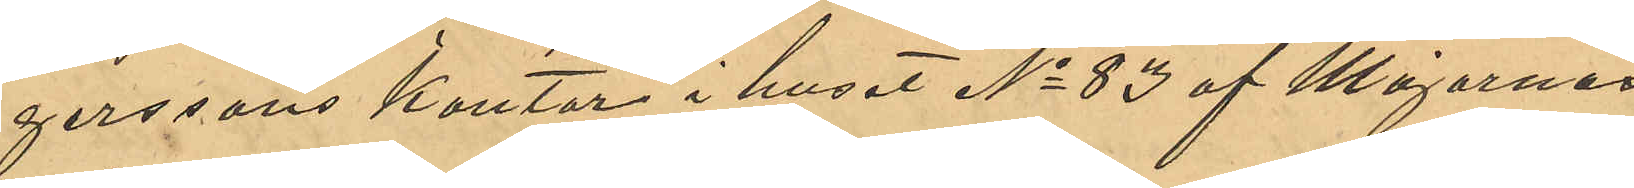gerssons kontor i huset No 83 af Majornas
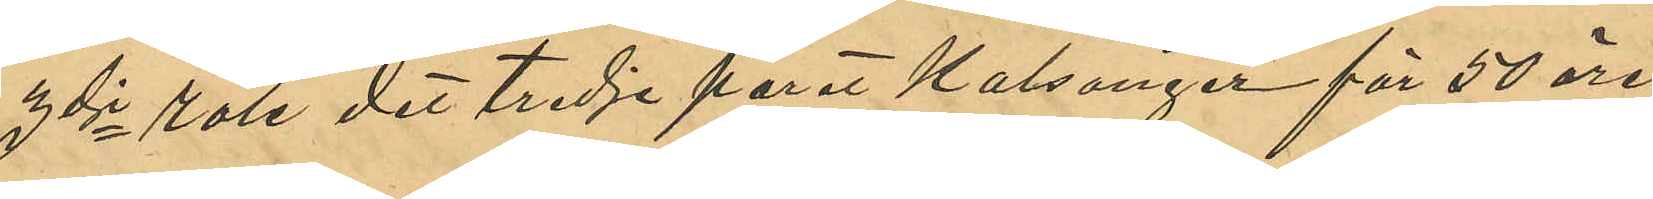3dje rote det tredje paret Kalsonger för 50 öre, 
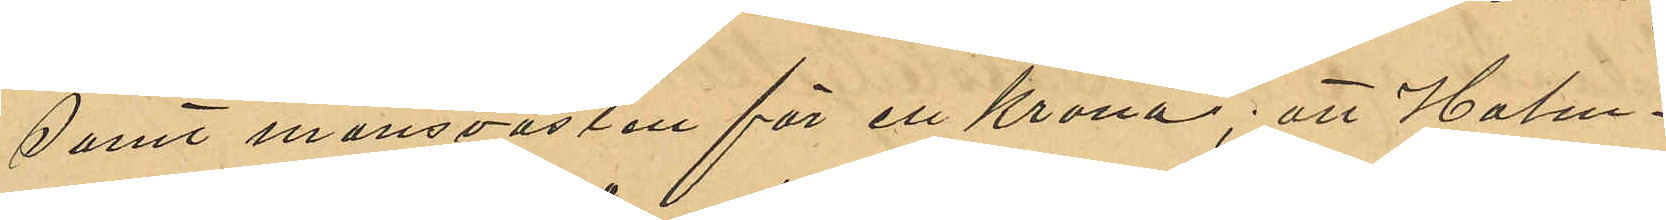samt mansvästen för en Krona; att Holm¬
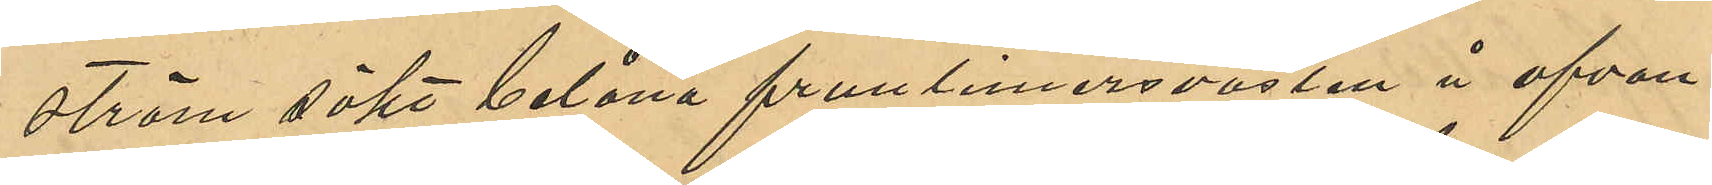ström sökt belåna fruntimmersvästen å ofvan¬
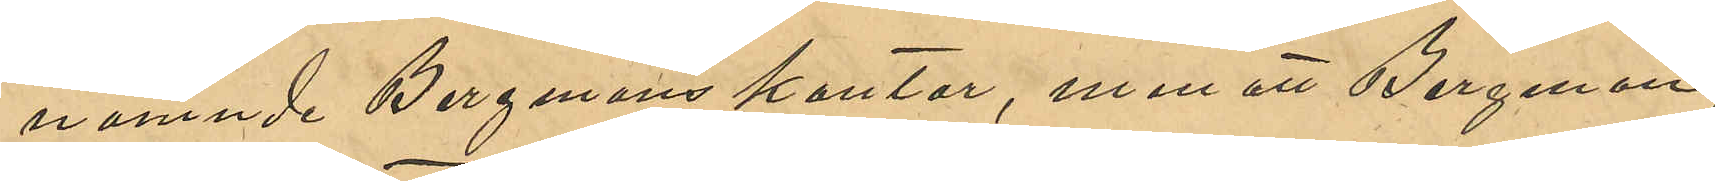nämnde Bergmans kontor, men att Bergman
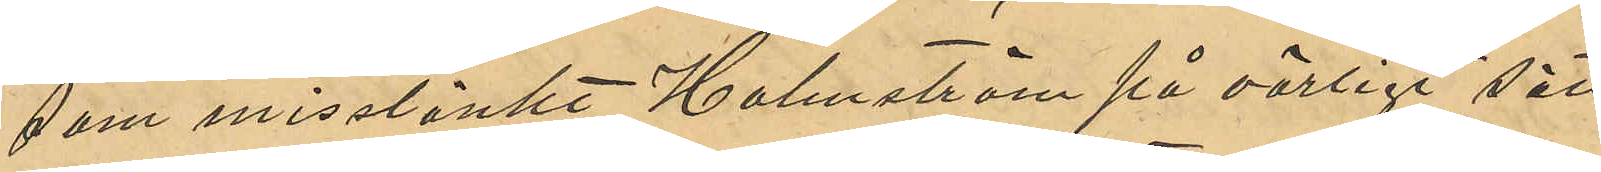som misstänkt Holmström på oärligt sätt
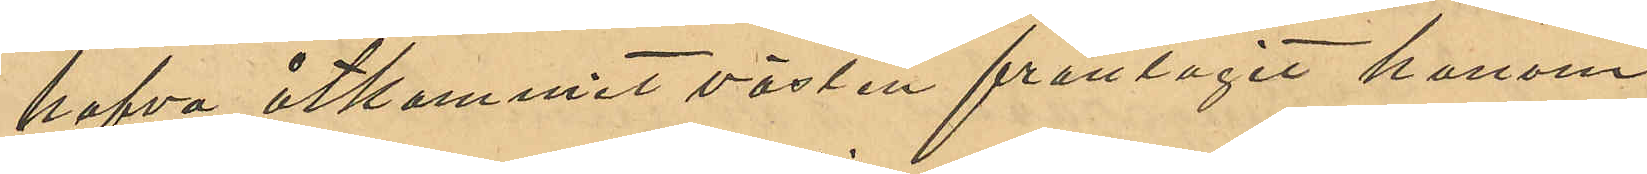hafva åtkommit västen fråntagit honom
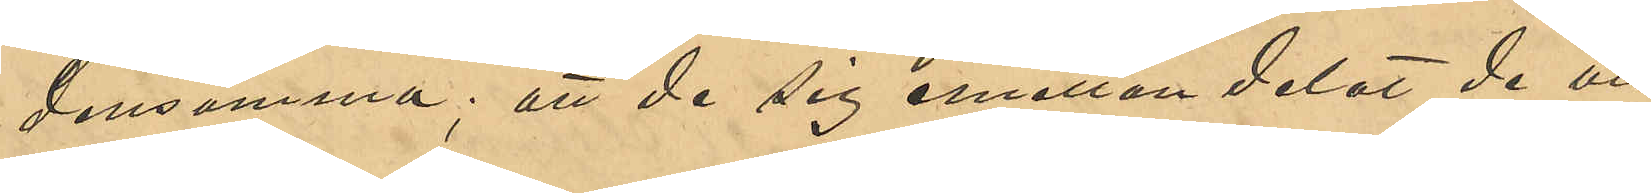densamma; att de sig emellan delat de vid
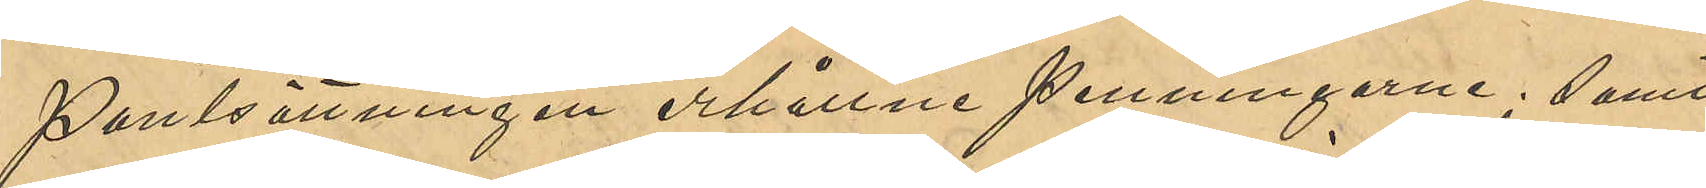Pantsättningen erhållne penningarne; samt
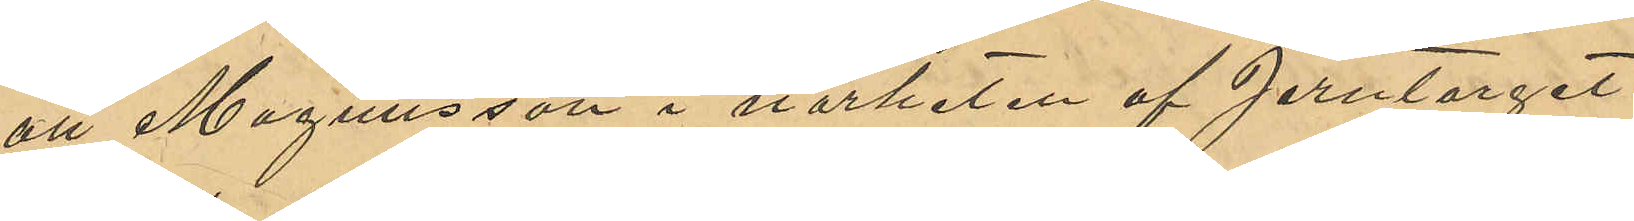att Magnusson i närheten af Jerntorget
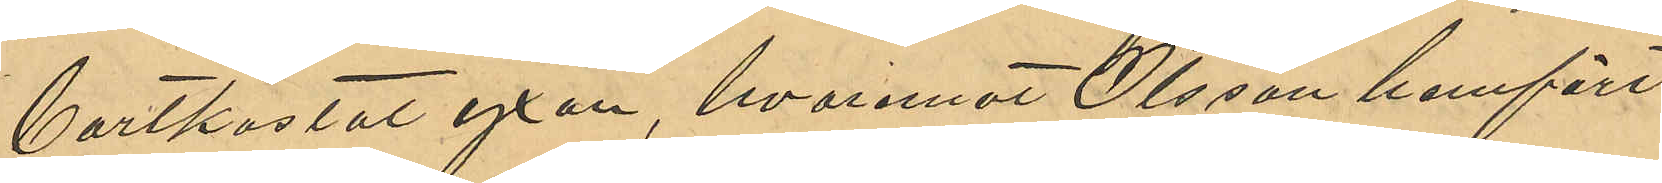bortkastat yxan, hvaremot Olsson hemfört
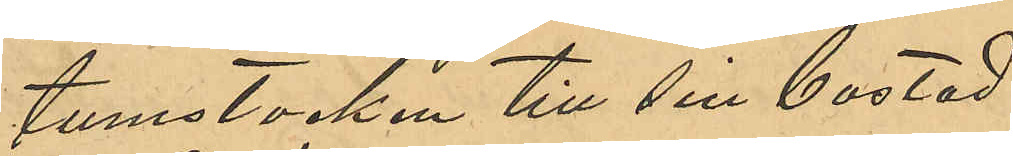tumstocken till sin bostad.
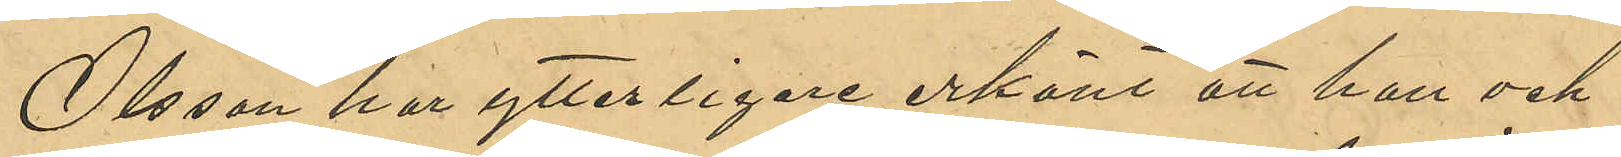Olsson har ytterligare erkänt att han och
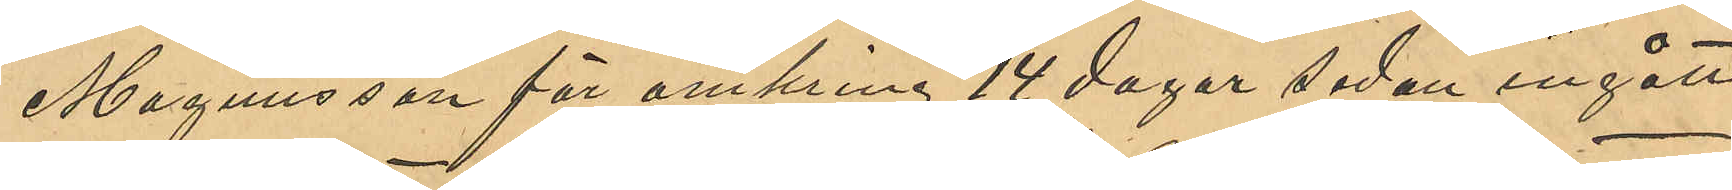Magnusson för omkring 14 dagar sedan ingått
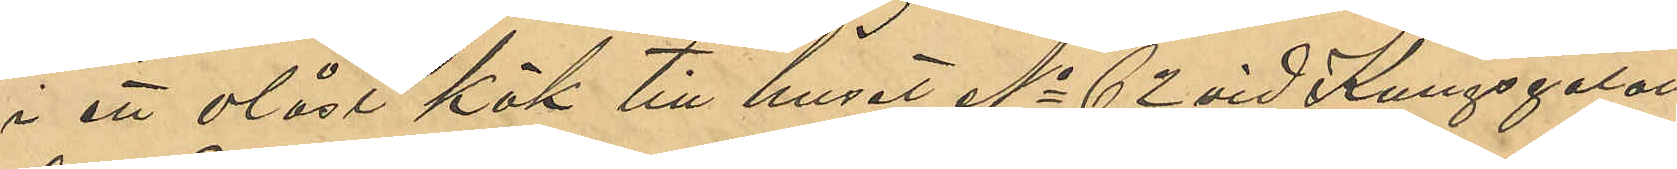i ett olåst kök till huset No 62 vid Kungsgatan
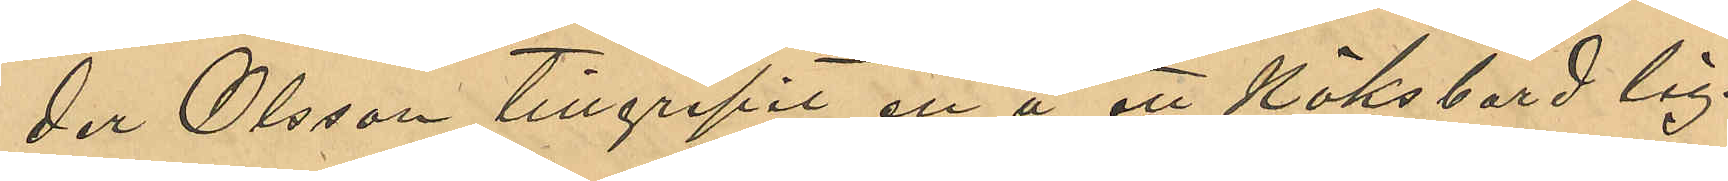der Olsson tillgripit en å ett köksbord lig¬
